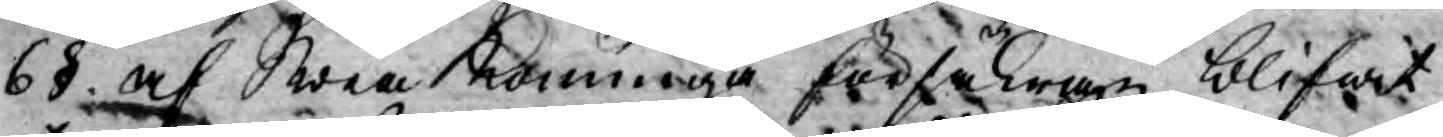6§. af Swea Konunga försäkran blifwit
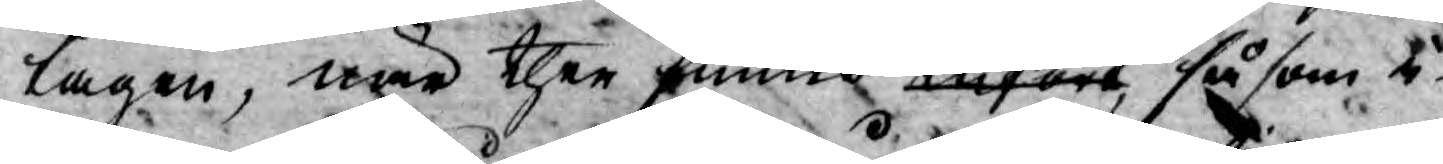tagen, när then funne anfört, såsom i¬
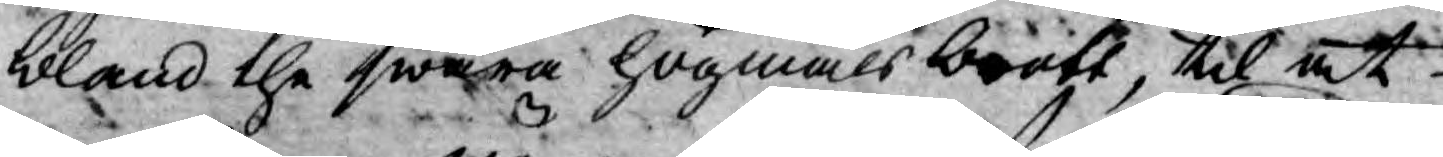bland the swåra högmålsbrott, til at
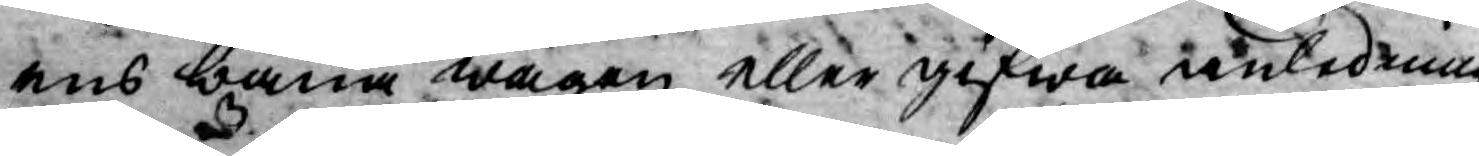ens bana wägen eller gifwa anledning
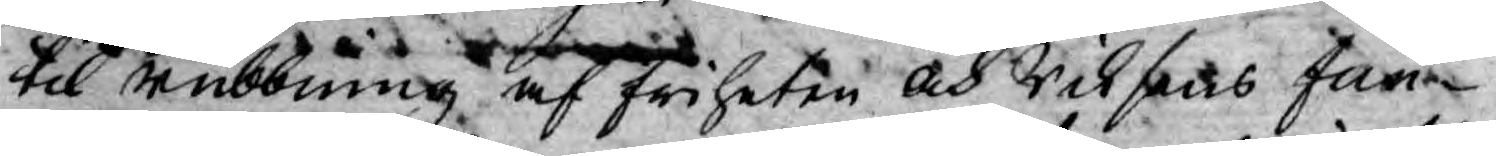til rubbning af friheten och Riksens Fun¬
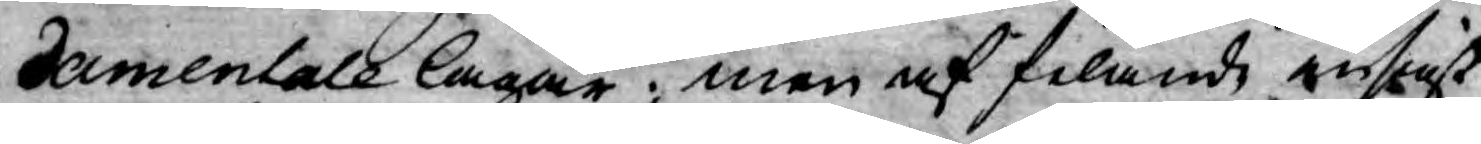damentale lagar; men af filande insigt
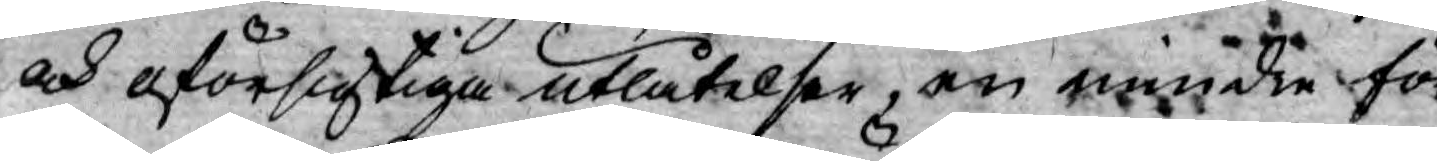och oförsigtiga utlåtelser, om mindre för¬
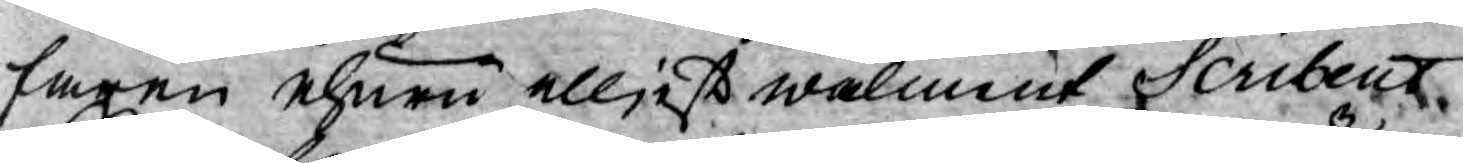faren ehuru elljest wälment Scribent
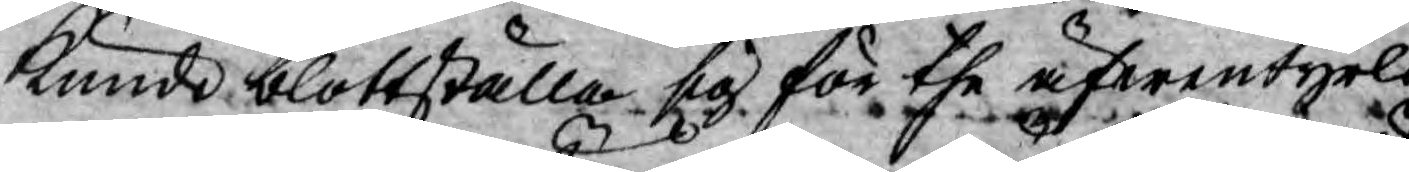kunde blottställa sig för the äfwentyrli¬
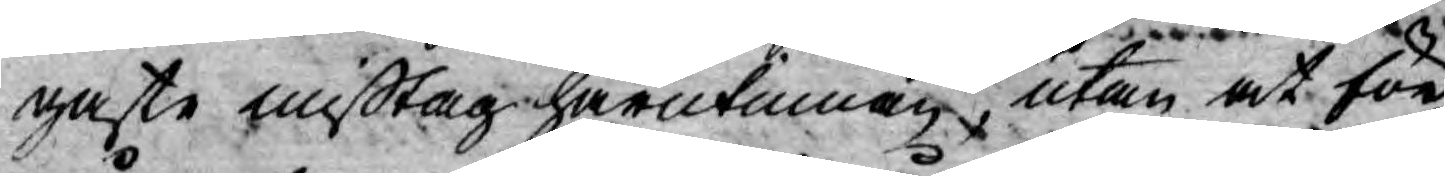gaste mißtag härutinnan, utan at för
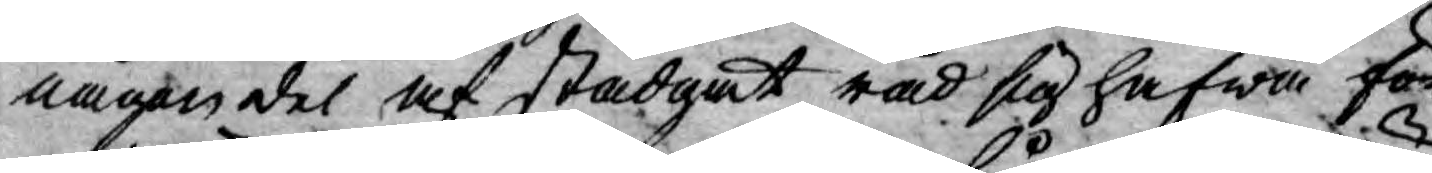någon del af stadgat råd sig hafwa för¬
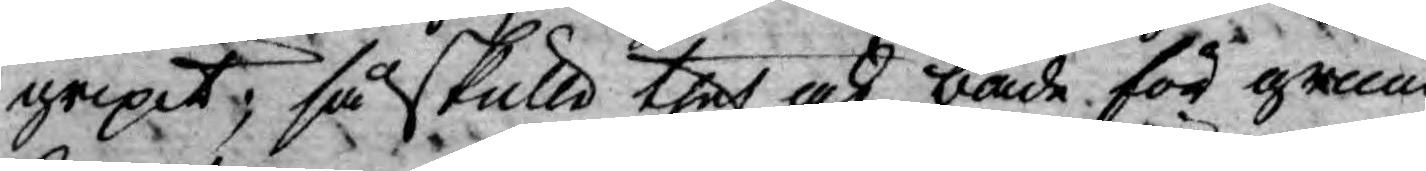gripit, så skulle thet ock både för grund¬
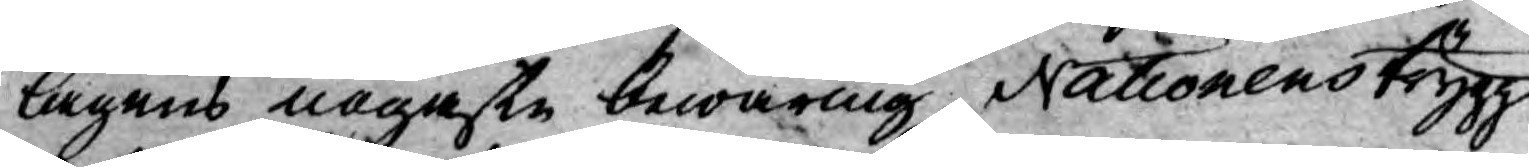lagens nogaste bewaring, Nationens trygg¬
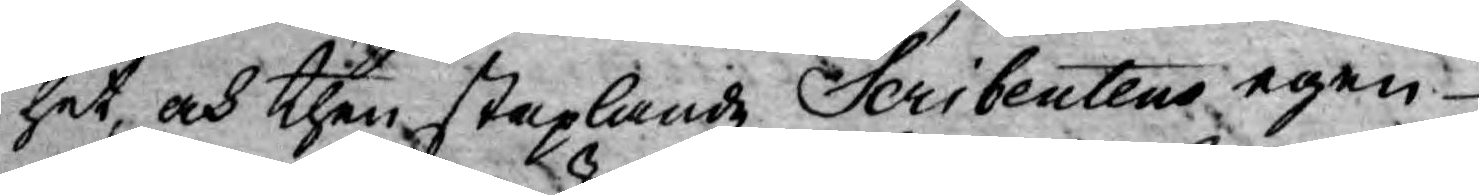het, och then staplande Scribentens egen¬
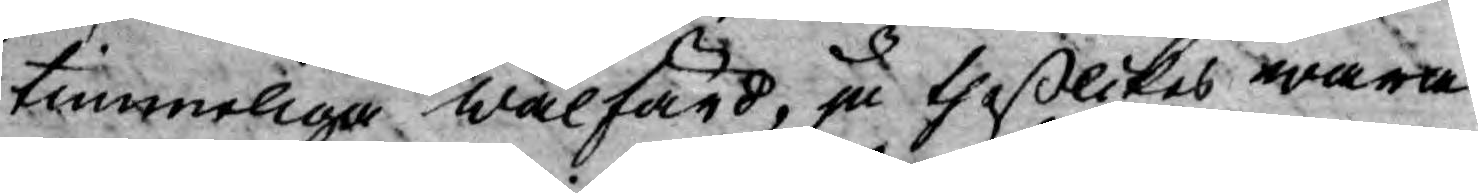timmeliga wälfärd, ju theßlikas wara
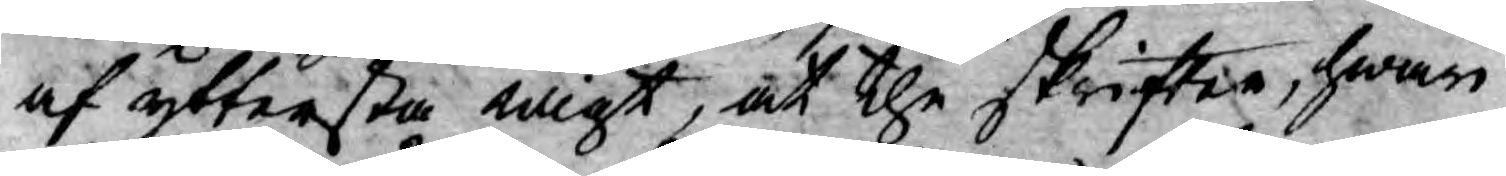af yttersta wigt, at the skrifter, hwari
